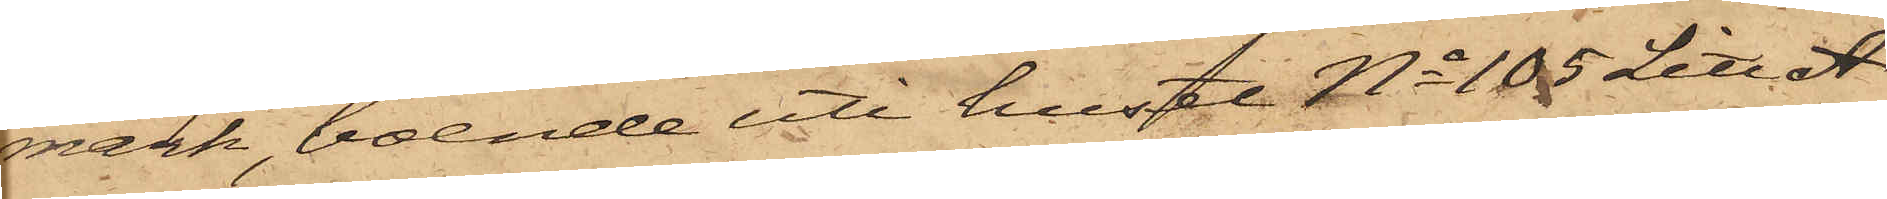mark, boende uti huset No 105 Litt A
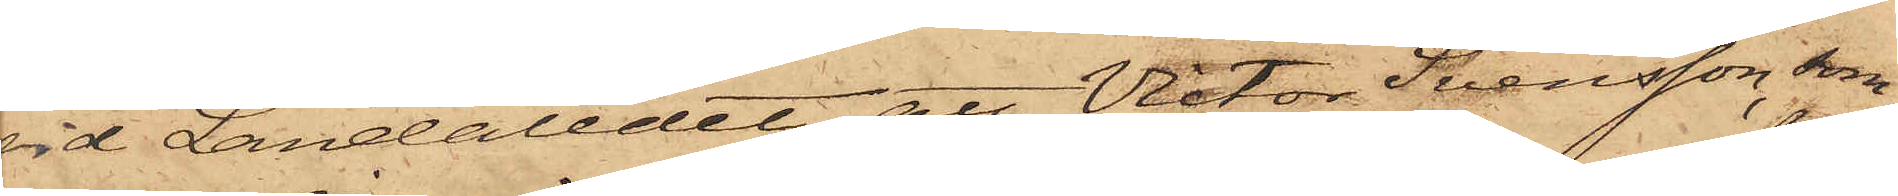vid Landaledet, att Victor Svensson, som
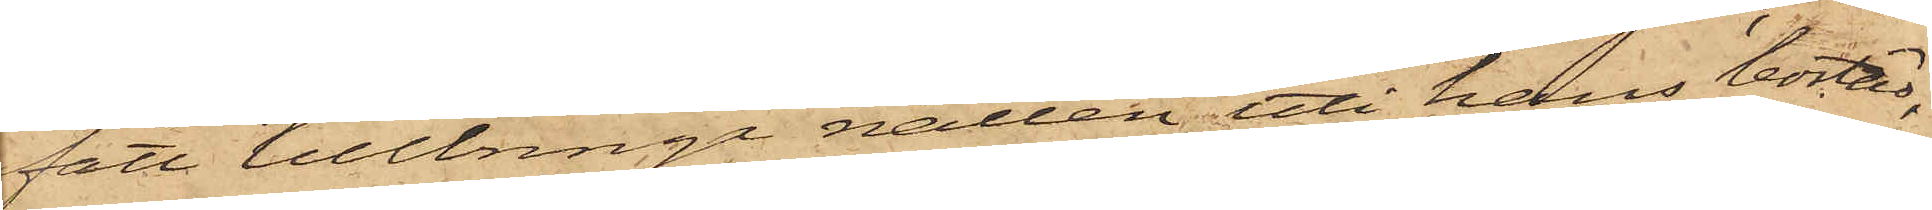fått tillbringa natten uti hans bostad,
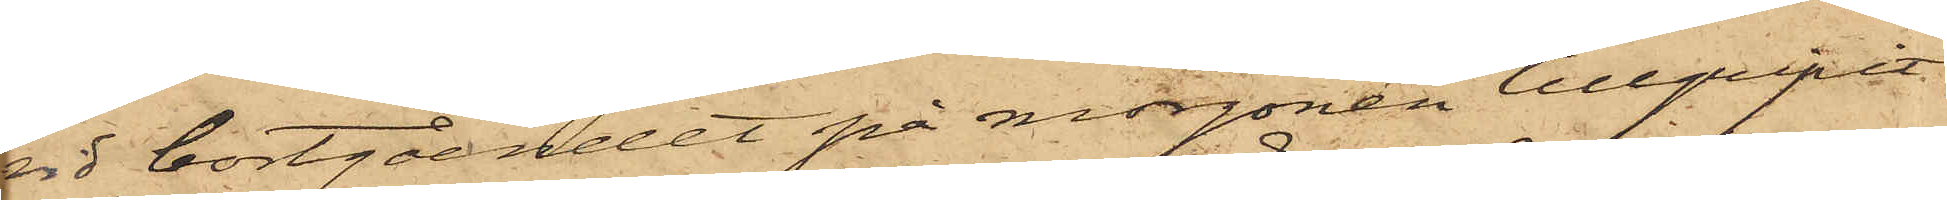vid bortgåendet på morgonen tillgripit
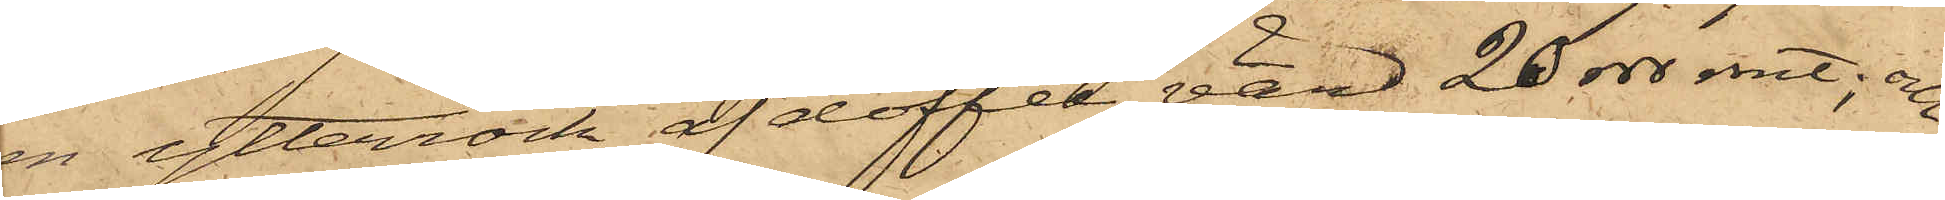en ytterrock af doffel, värd 20 rdr rmt; och
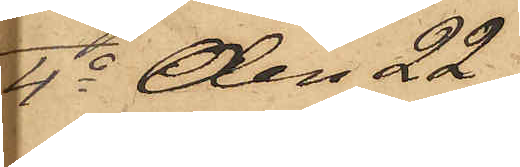4o den 22
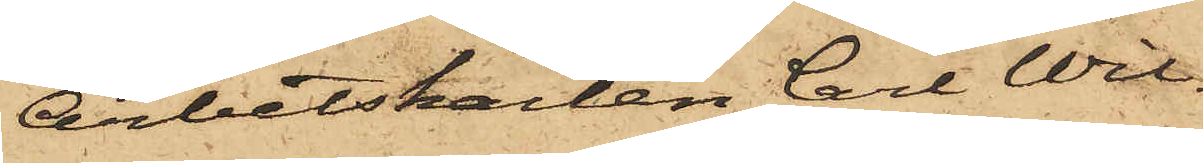Arbetskarlen Carl Wil¬
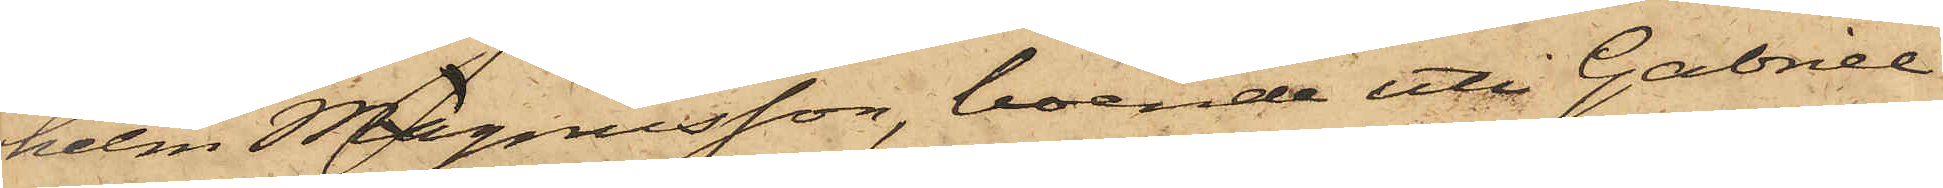helm Magnusson, boende uti Gabriel
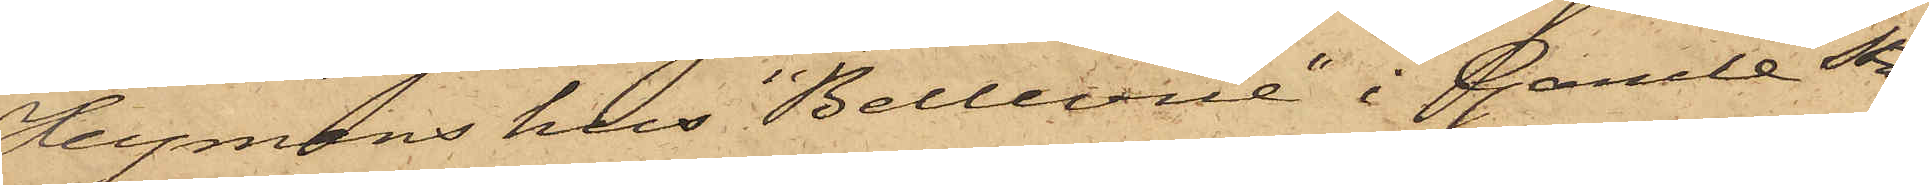Heymans hus "Bellevue" i Gamle Sta¬
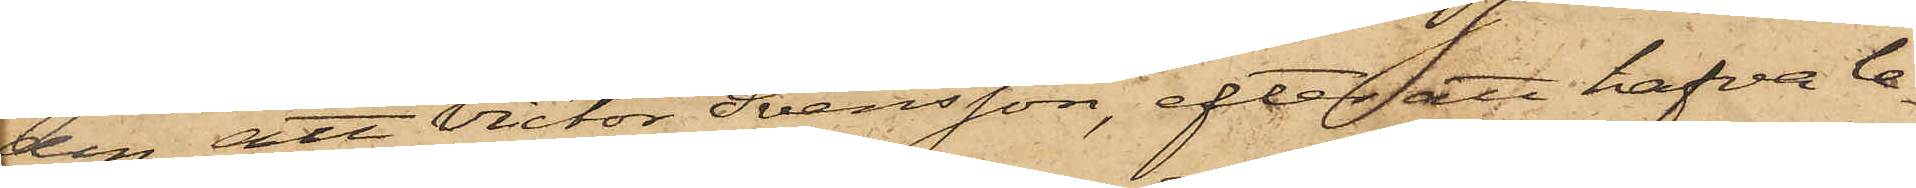den, att Victor Svensson, efter att hafva le¬
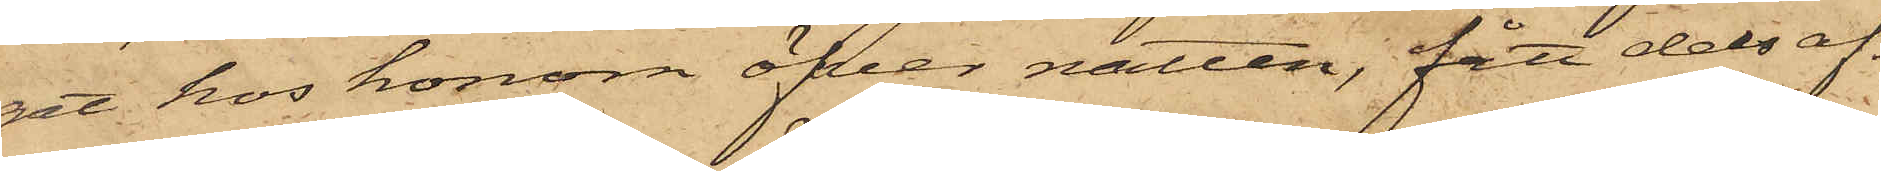gat hos honom öfver natten, fått dels af
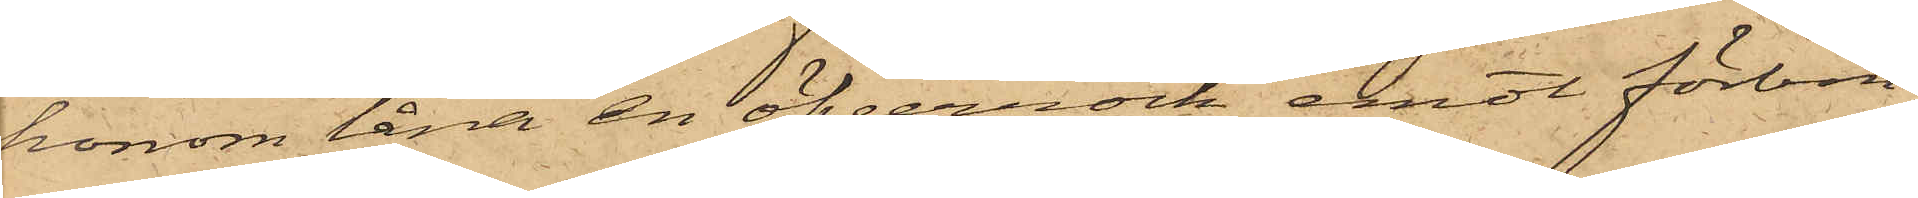honom låna en öfverrock emot förbin¬
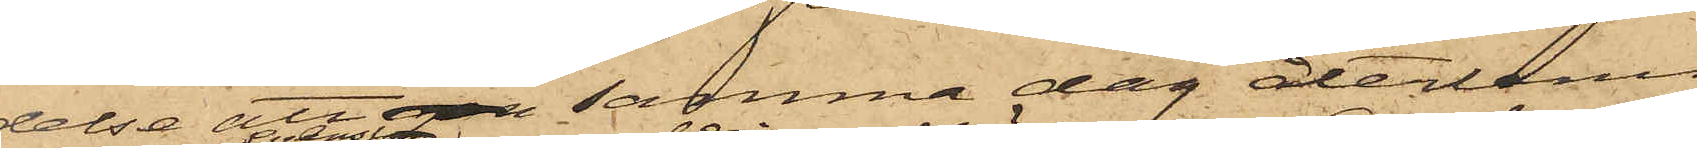delse att pa samma dag återlemna
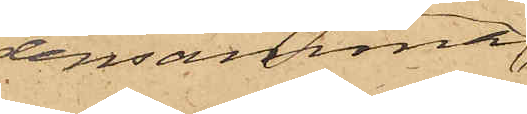densamma
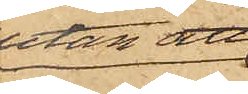utan att
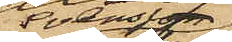Svensson
